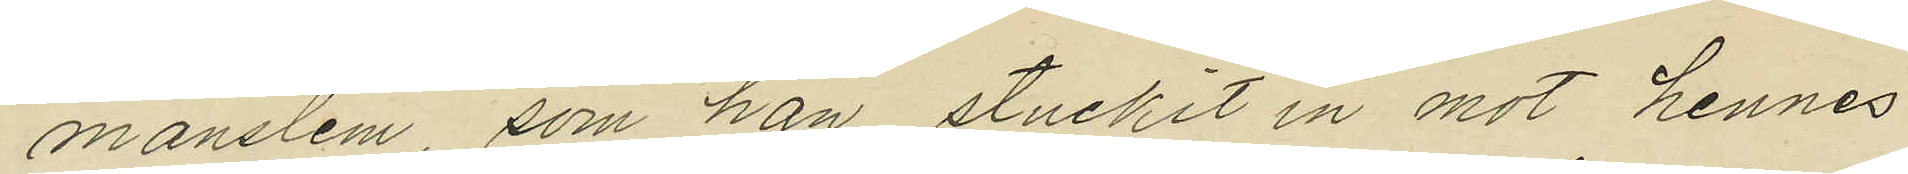manslem som han stuckit in mot hennes
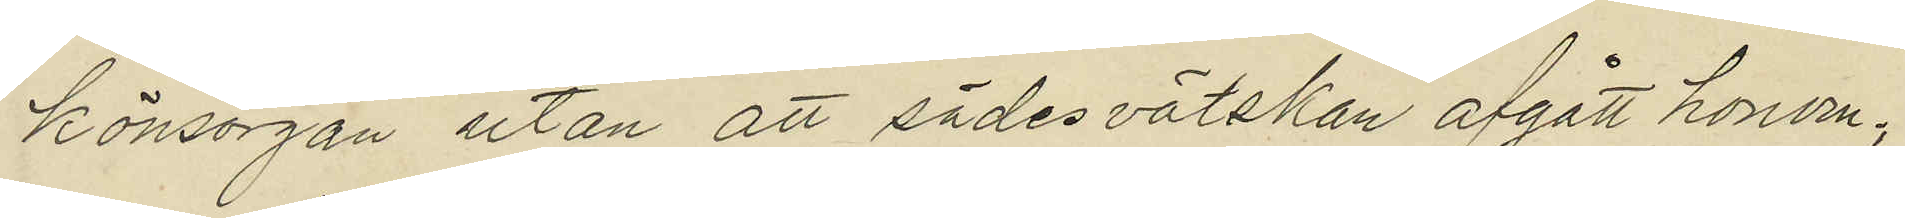könsorgan utan att sädesvätskan afgått honom;
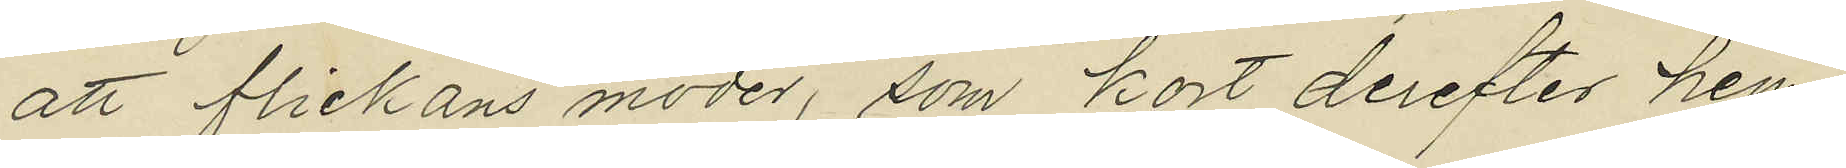att flickans moder, som kort derefter hem¬
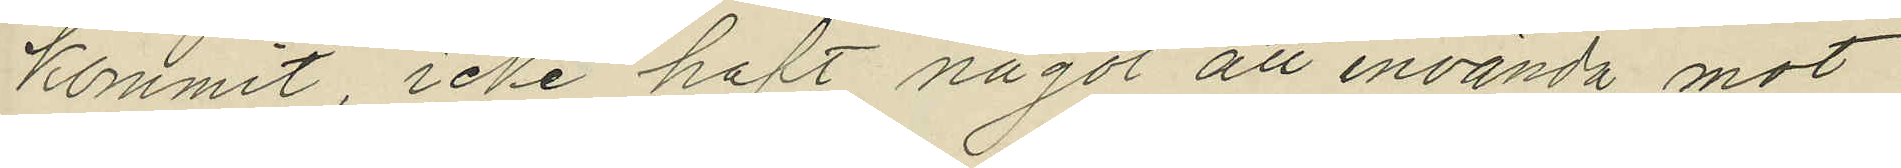kommit icke haft något att invända mot
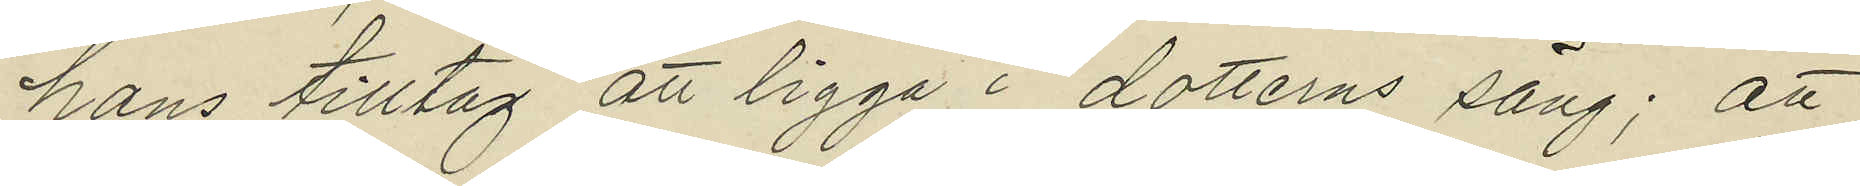hans tilltag att ligga i dotterns säng; att
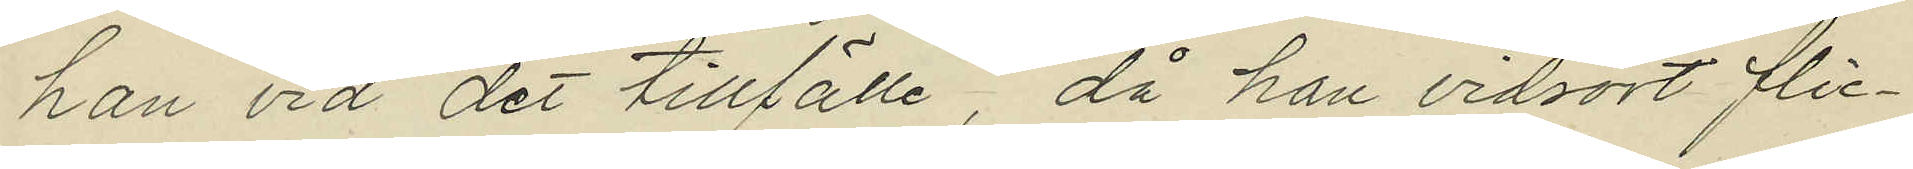han vid det tillfälle, då han vidrört flic¬
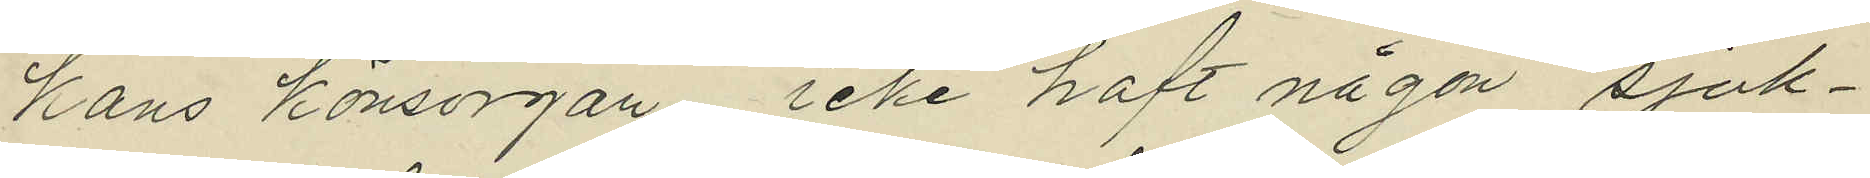kans könsorgan, icke haft någon sjuk¬
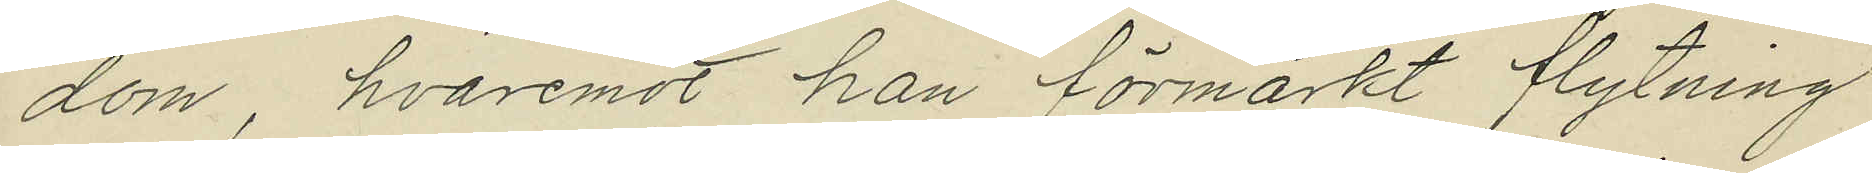dom, hvaremot han förmärkt flytning
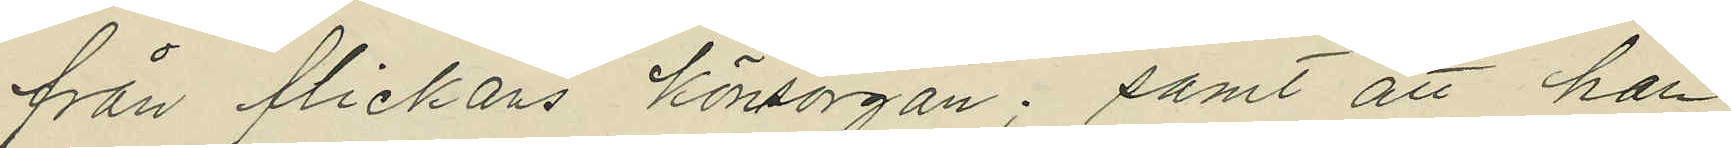från flickans könsorgan; samt att han
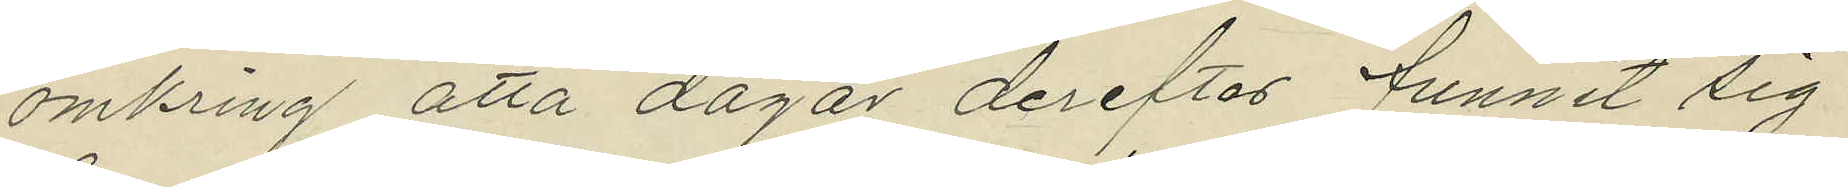omkring åtta dagar derefter funnit sig
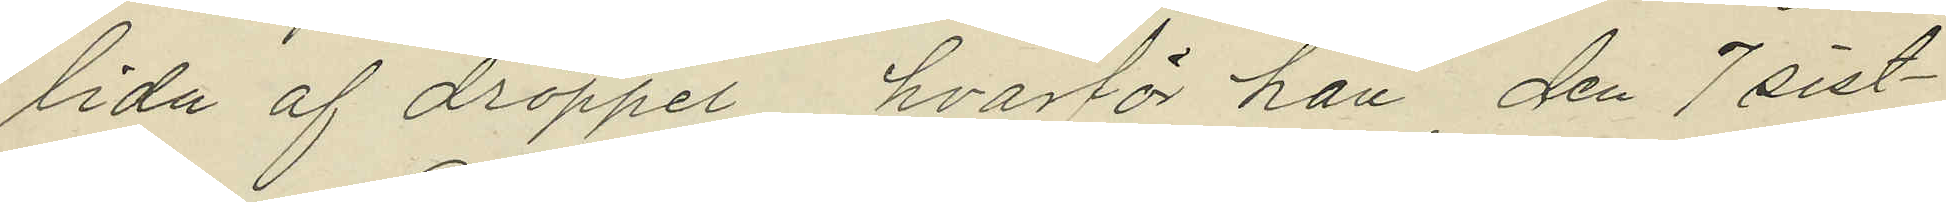lida af dröppel, hvarför han den 7 sist¬
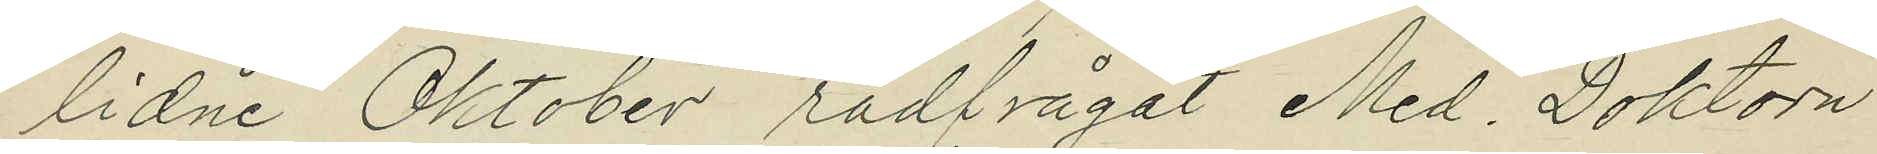lidne Oktober rådfrågat Med. Doktorn
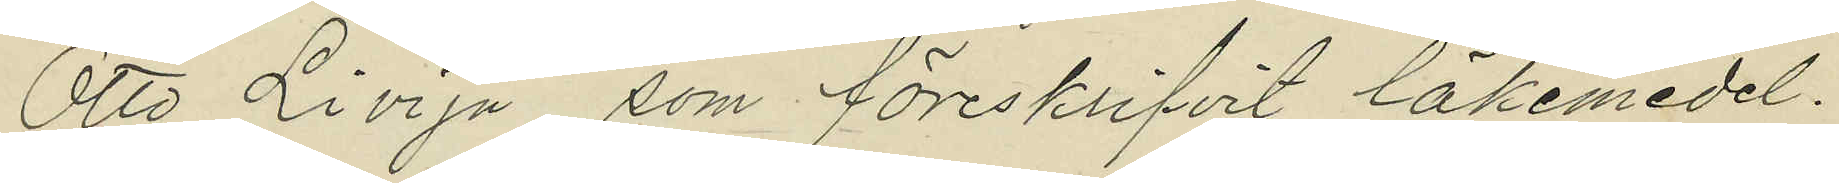Otto Livija, som föreskrifvit läkemedel.
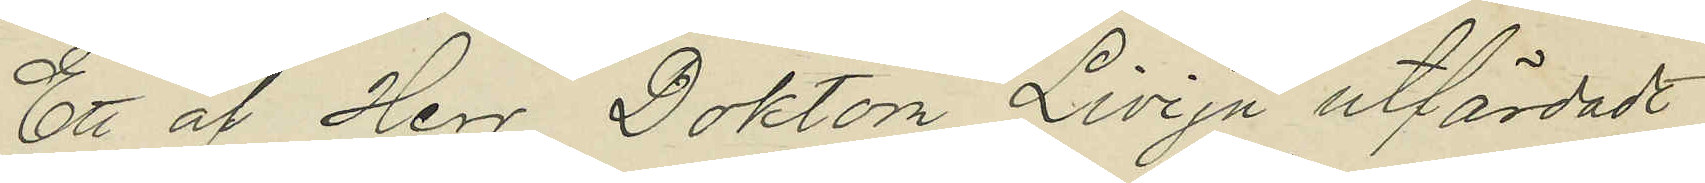Ett af Herr Doktor Livija utfärdadt
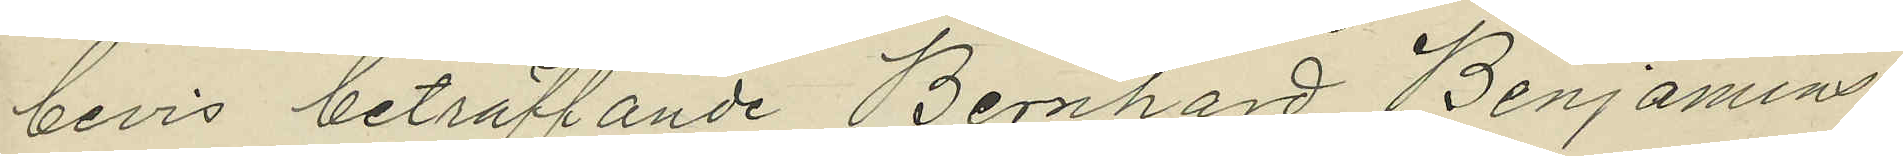bevis beträffande Bernhard Benjamins¬
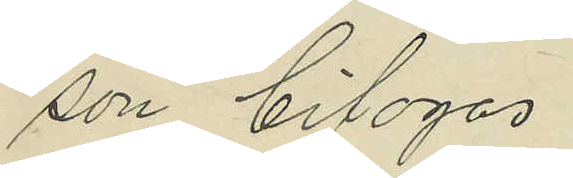son bifogas.
